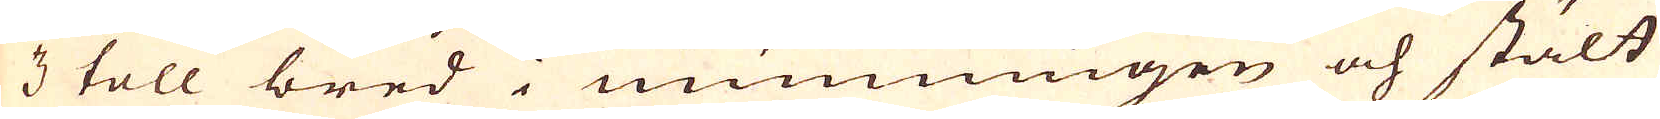3 toll bred i munningen och stält
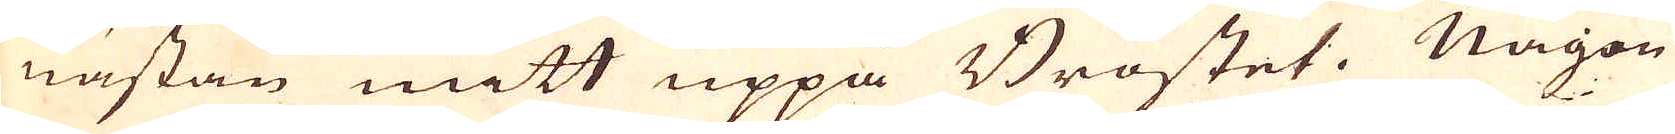nästan mitt uppå Bröstet. Någon
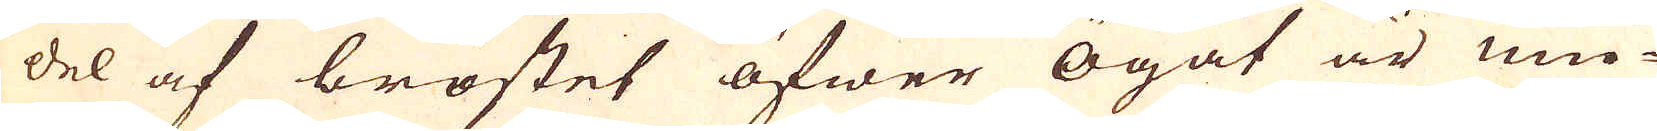del af bröstet öfwer ögat är mu-
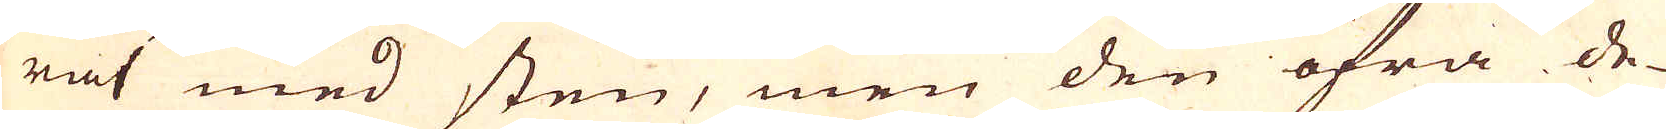rat med sten, men den öfra de-
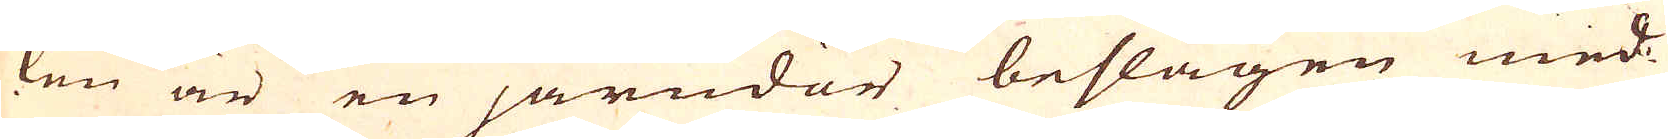len är en järndör beslagen med
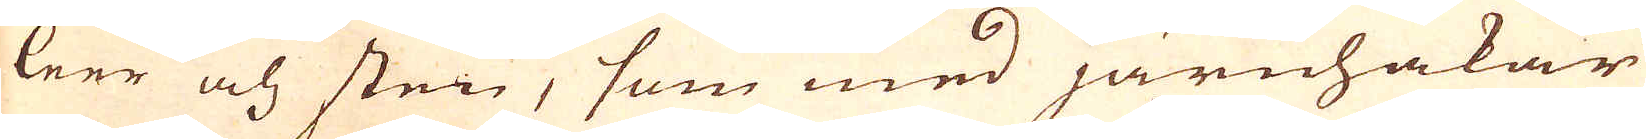leer och sten, som med järnhakar
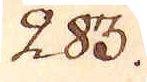283.
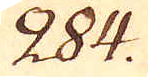284.
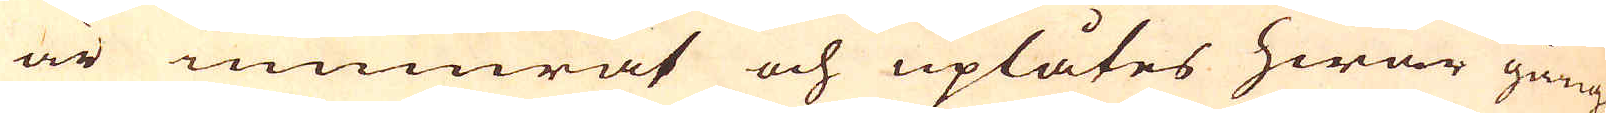är inmurat och uplåtes hwar gång
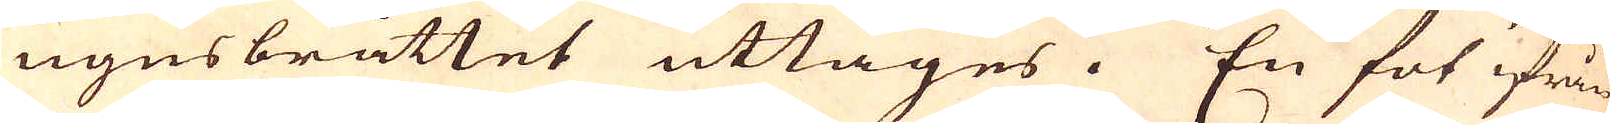ugnsbrättet uttages. En fot ifrån
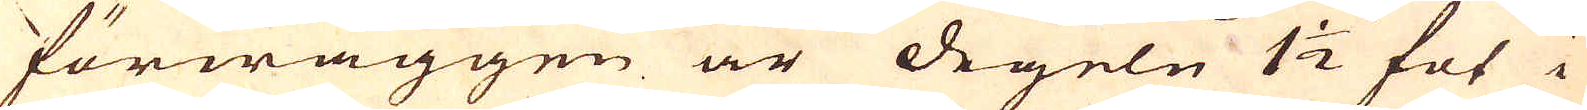förwäggen är degeln 1 1/2 fot i
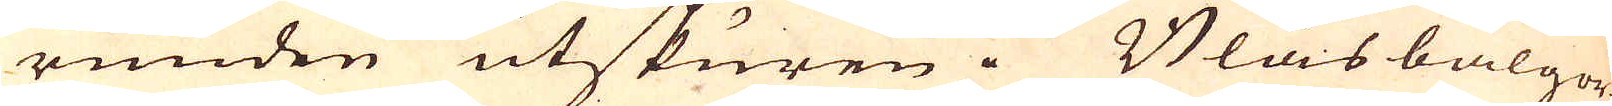runden utskuren. Blåsbälgor-
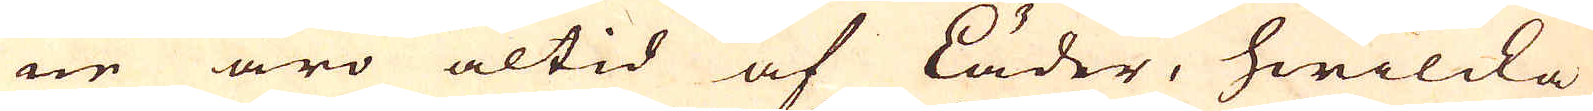ne äro altid af läder, hwilcka
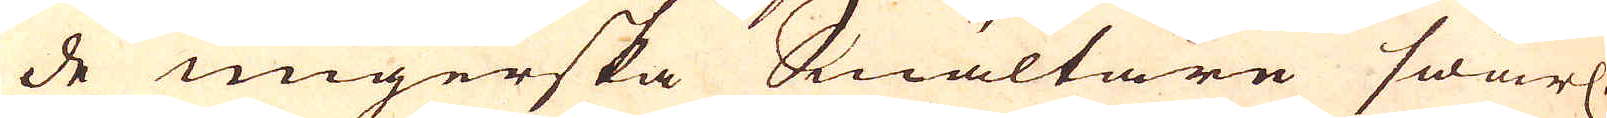de ungerska Smältare swårl.
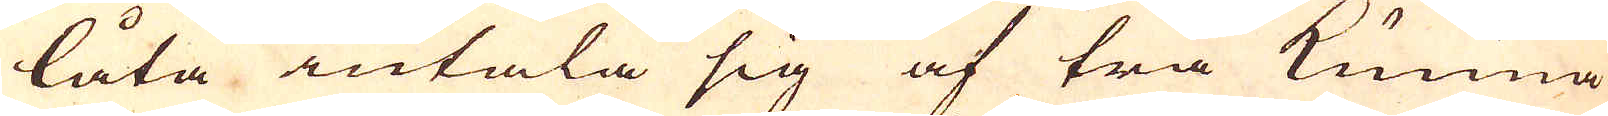låta intala sig af trä kunna
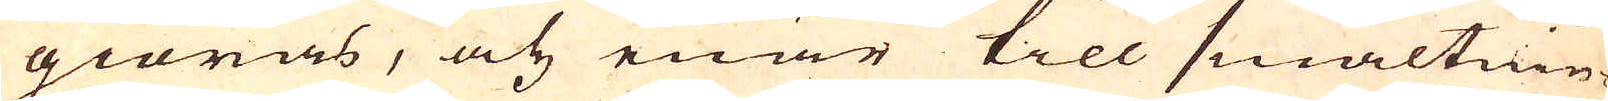giöras, och enär till smältnin-
